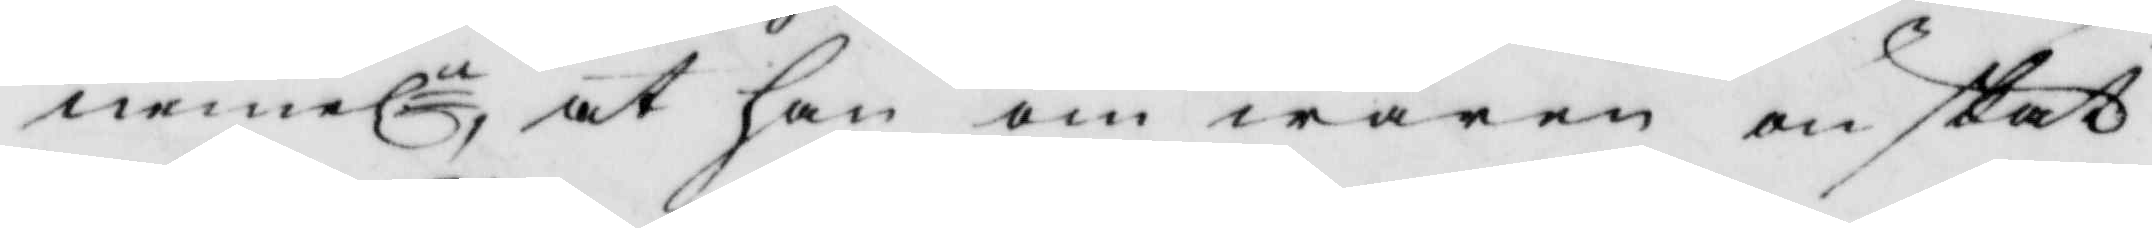nemln at han om wåren önskat
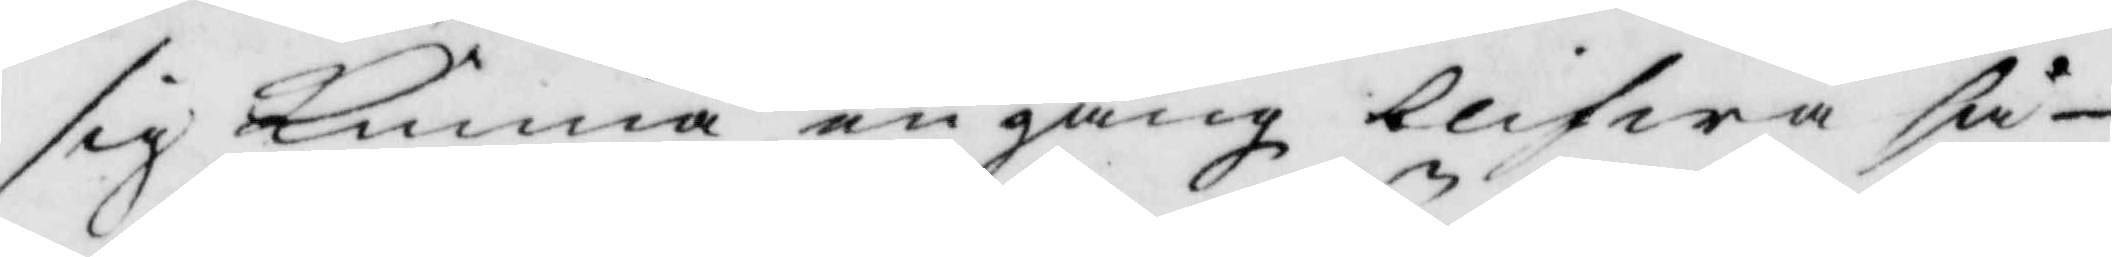sig kunna en gång blifwa så
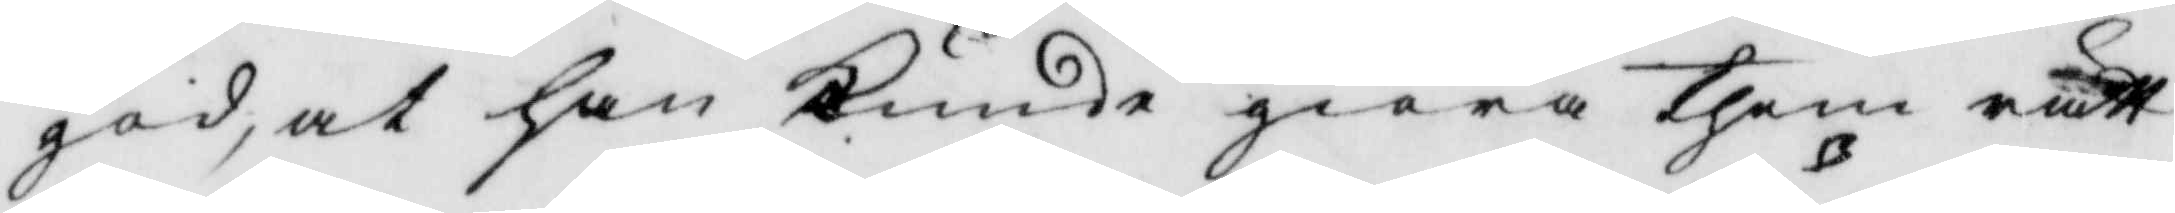god at han kunde giöra them rätt
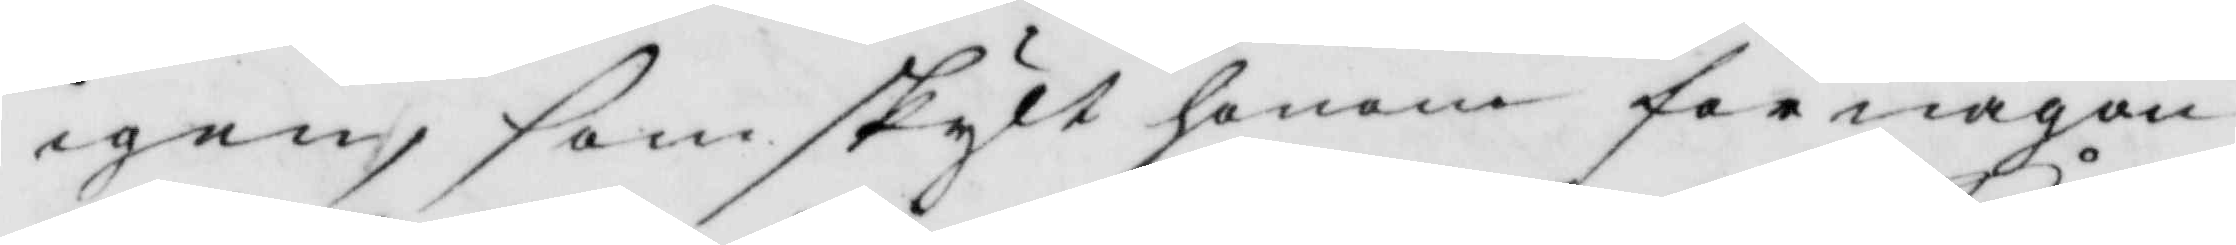igen, som skylt honom för någon
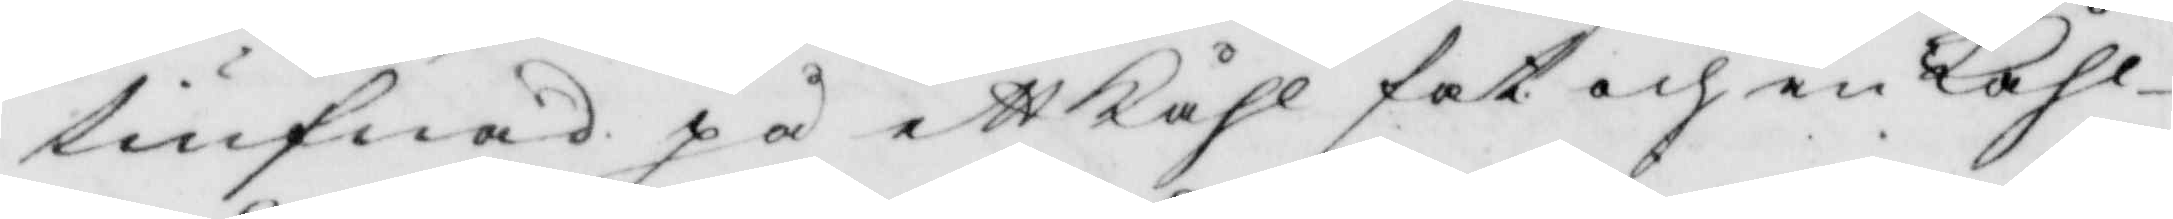tiufnad på ett kåhl fat och en kåhl
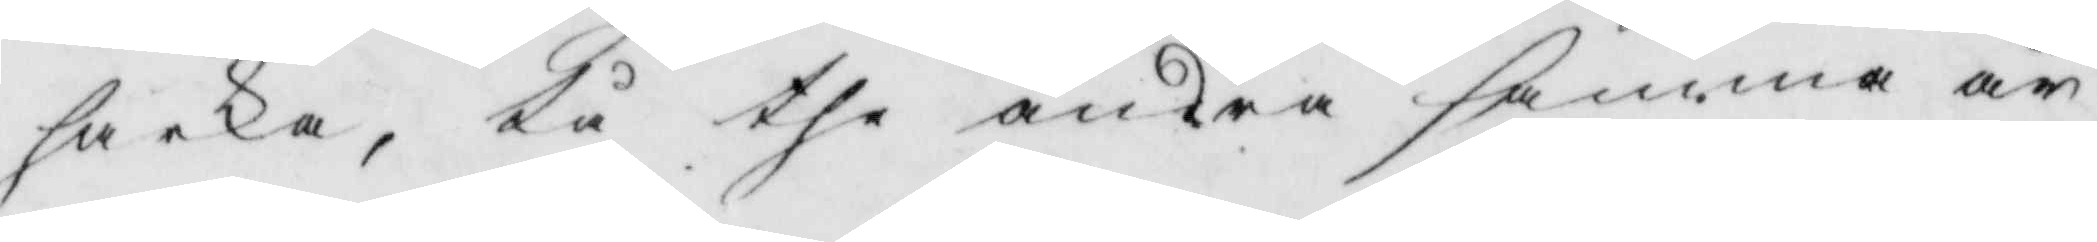hacka, tå the andra samma år
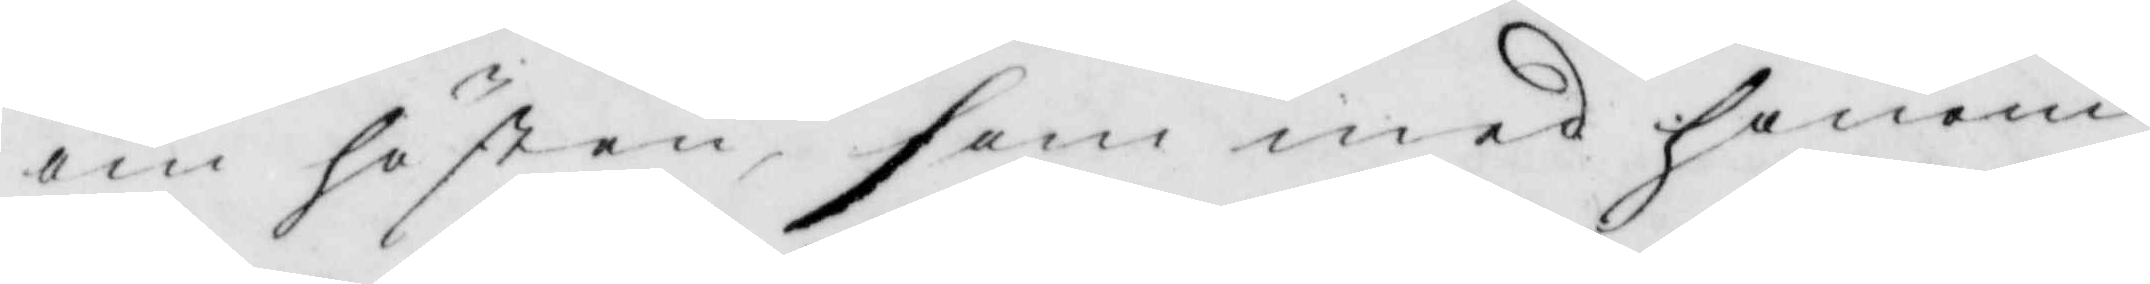om hösten som med honom
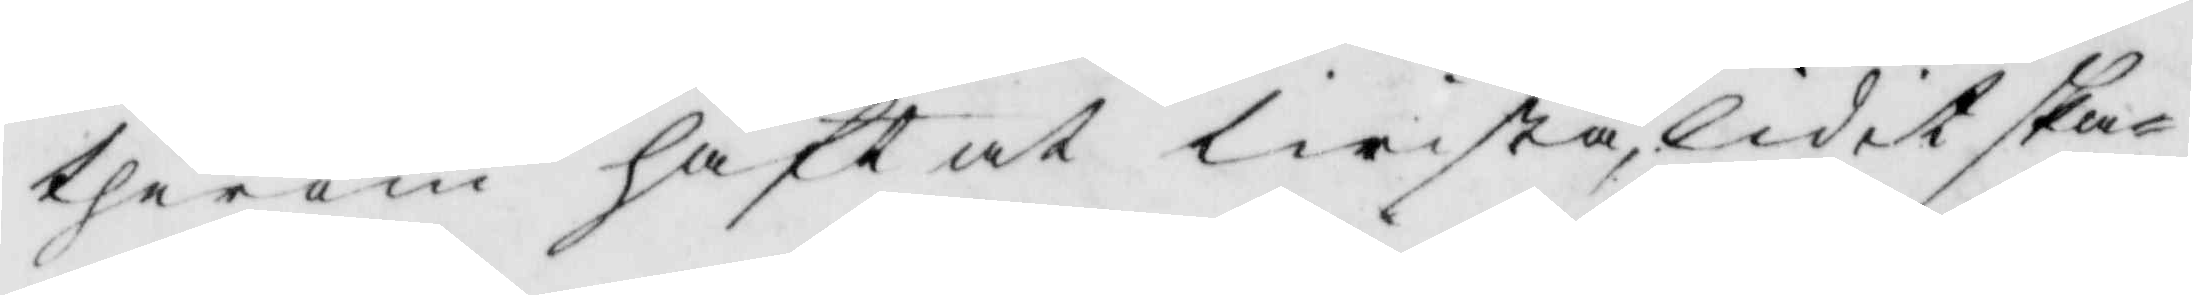therom haft at lirista, lidit ska¬
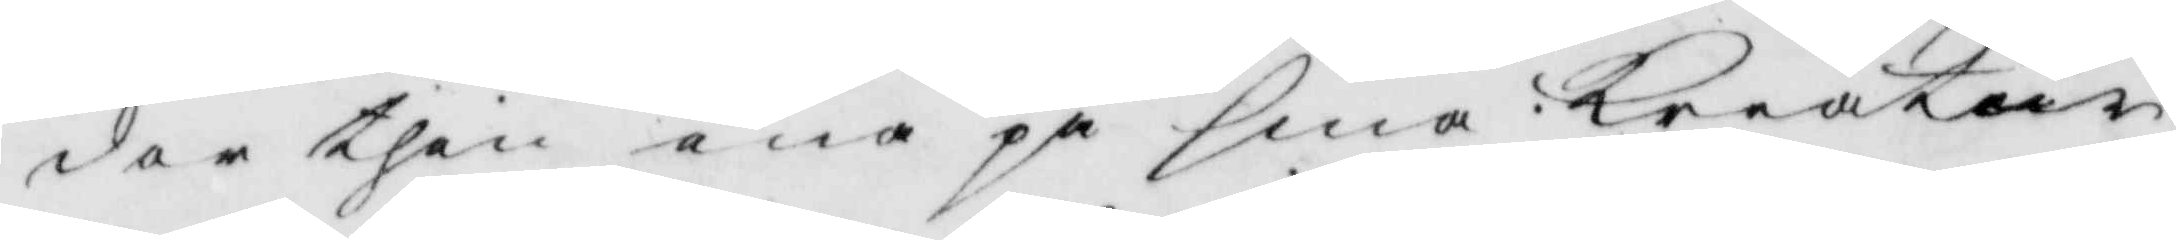dor then ena på sina kreatur
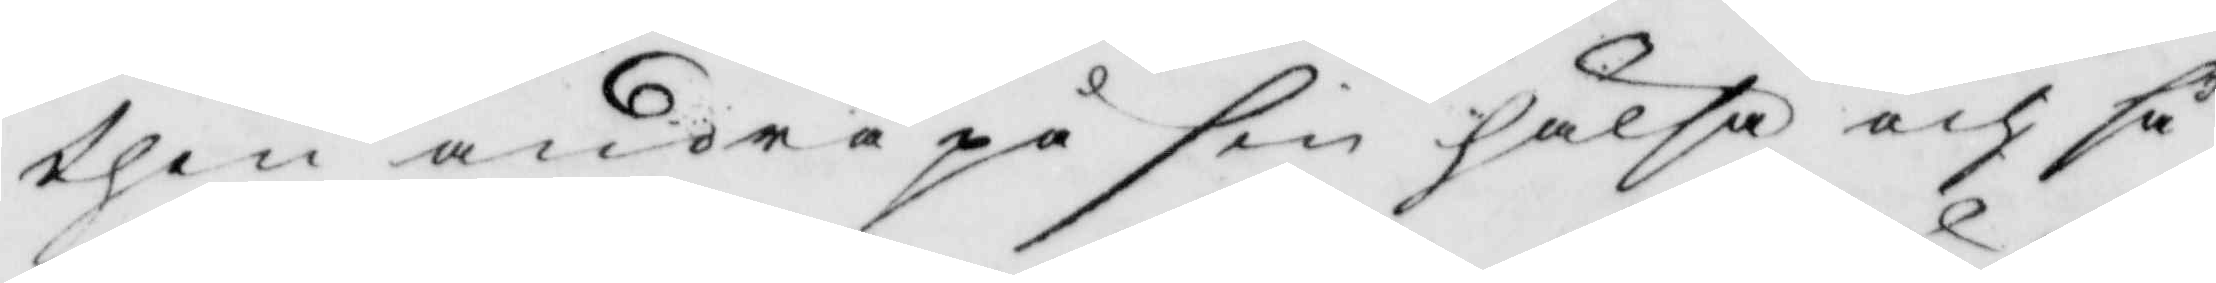then andra på sin hälsa och så
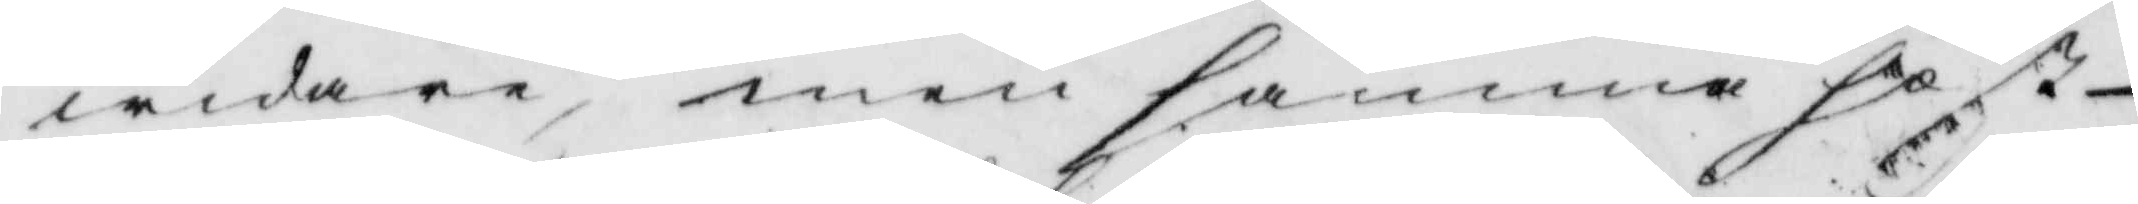widare, men samma höst
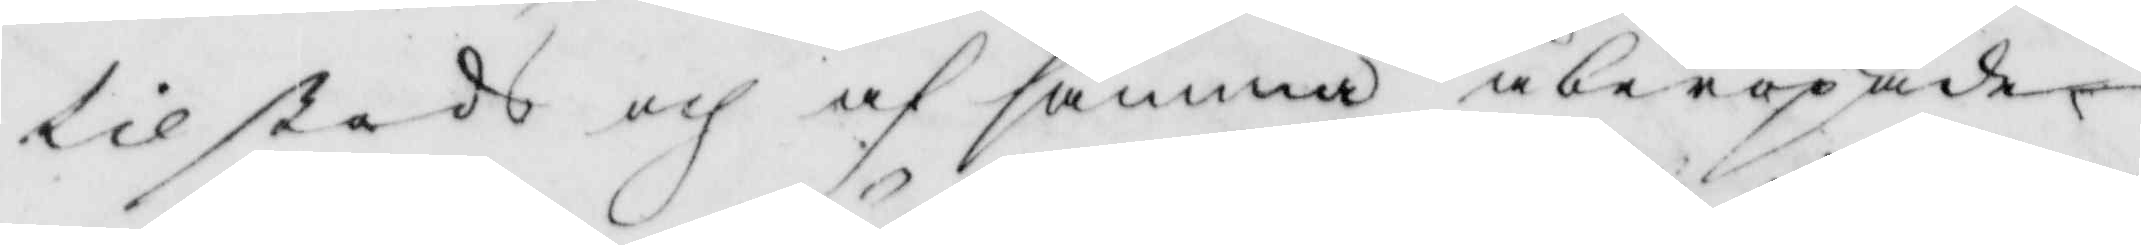tilstods och af samma åberopade
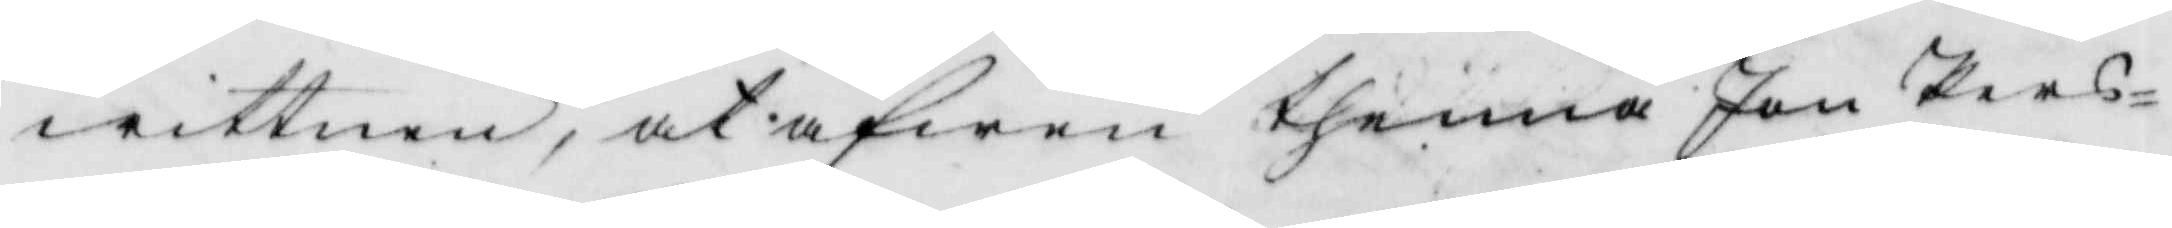wittnen, at äfwen thenna Jon Pers¬
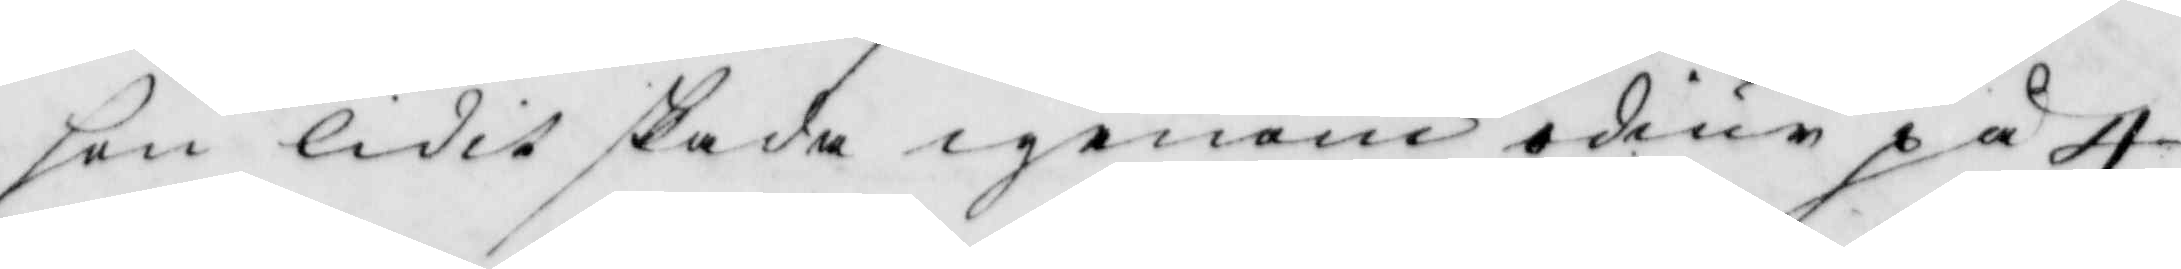son liditskada igenom odiur på 4
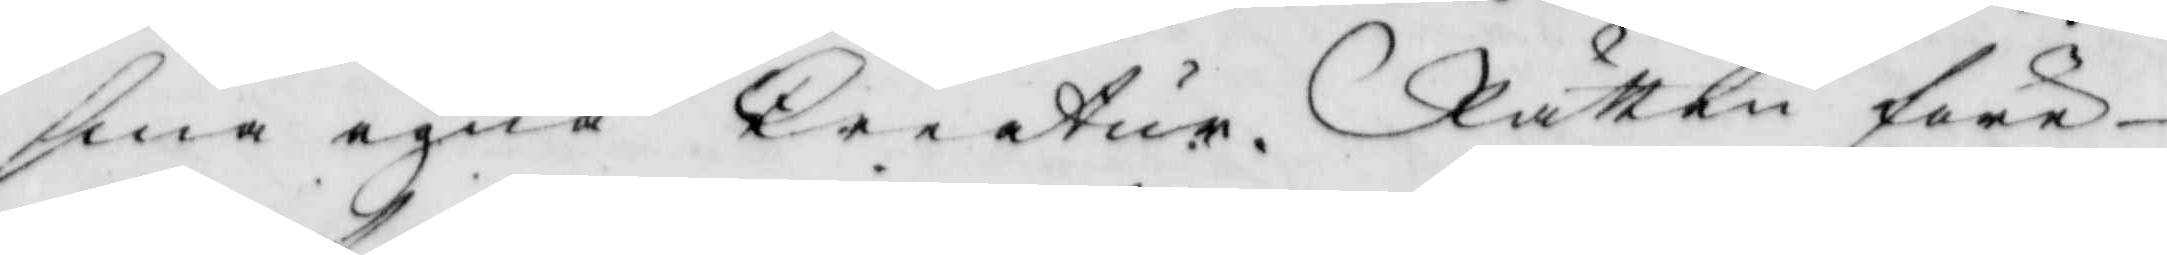sina egna kreatur. Rätten före¬
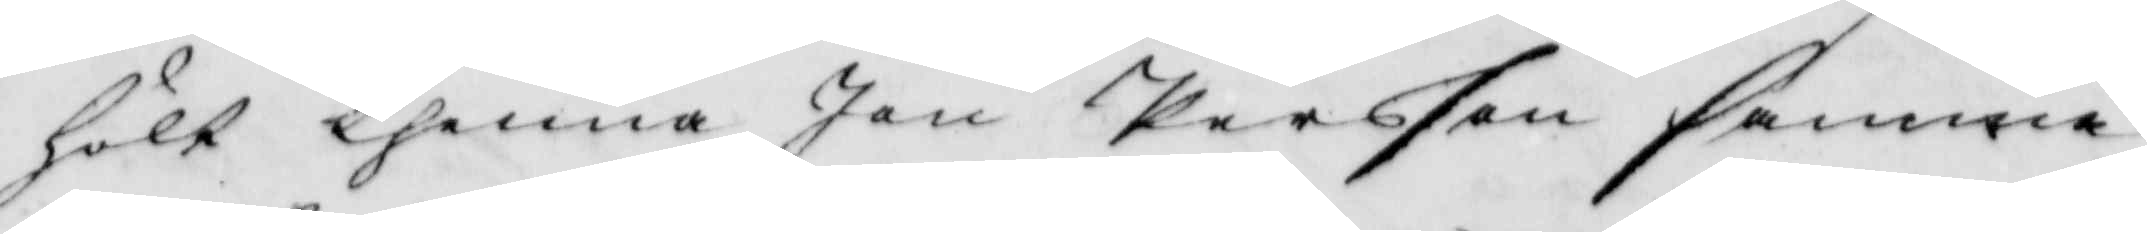hölt thenna Jon Persson samma
